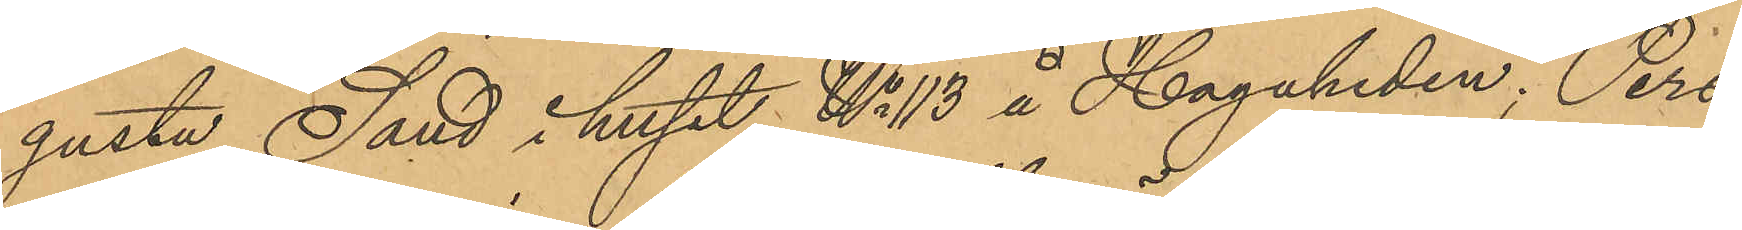gusta Sand i huset No 113 å Hagaheden. Pers¬
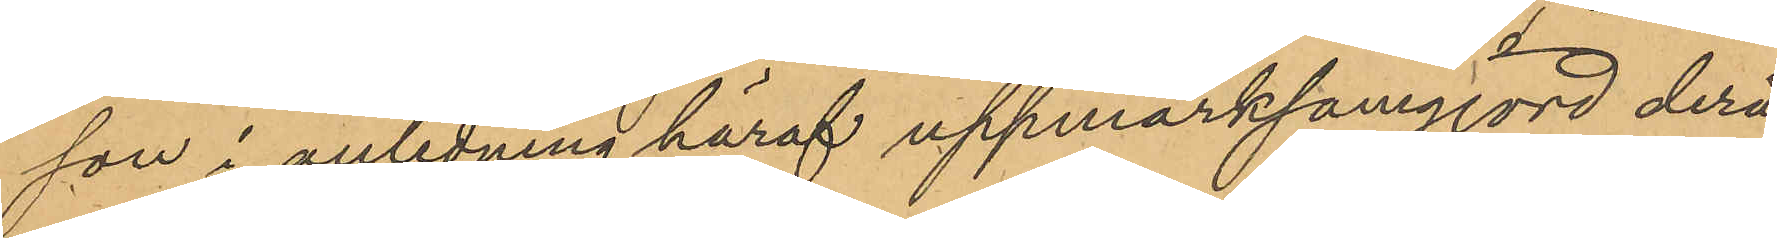son i anledning häraf uppmärksamgjord derå,
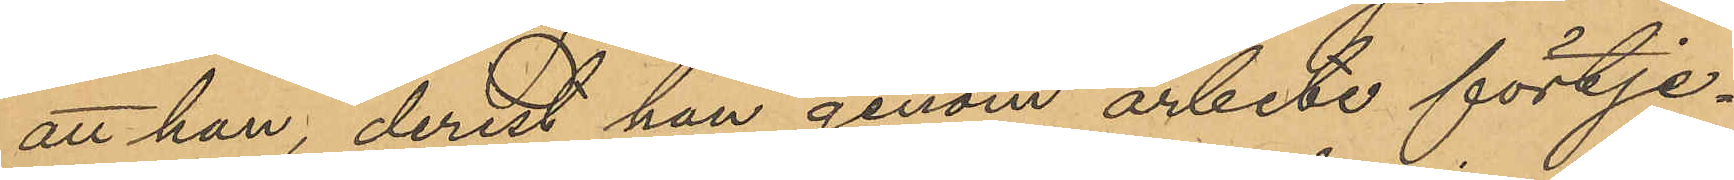att han, derest han genom arbete förtje¬
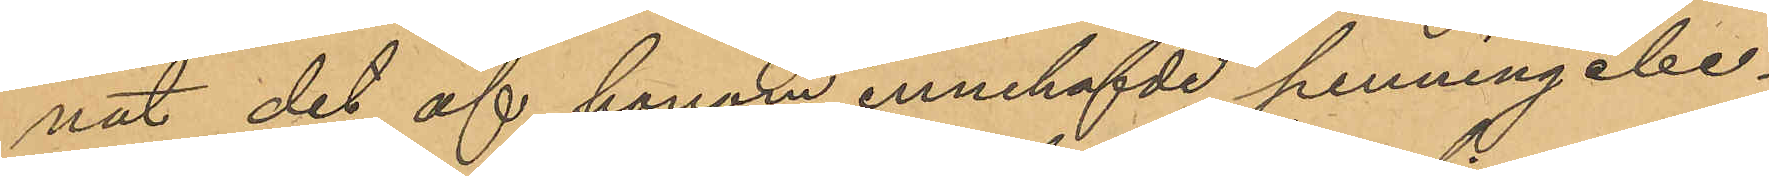nat det af honom innehafvde penningebe¬
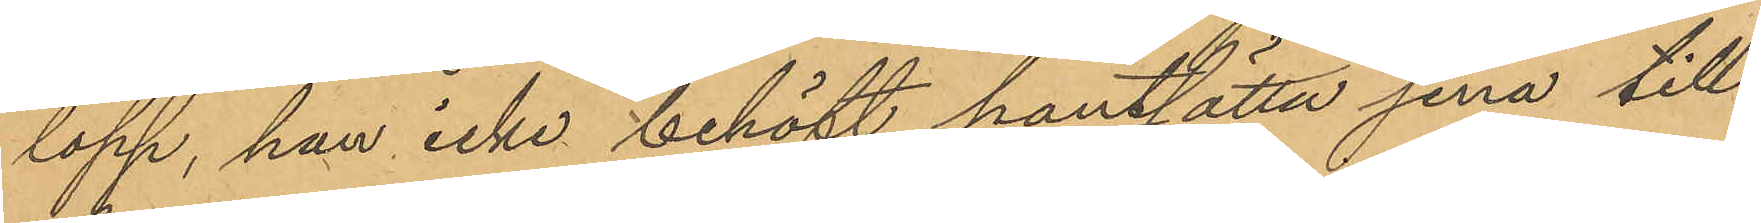lopp, han icke behöft pantsätta sina till¬
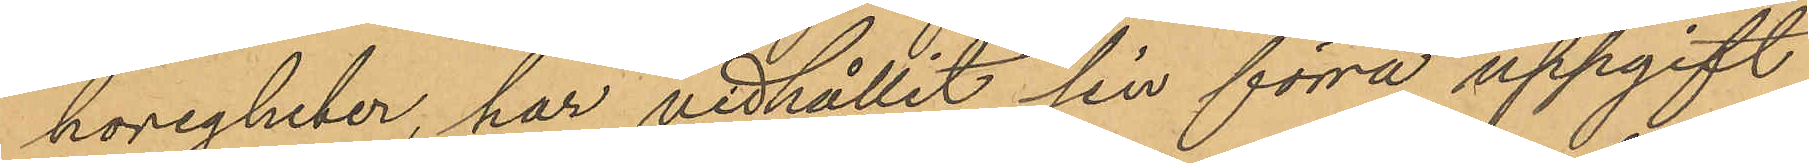hörigheter, har vidhållit sin förra uppgift
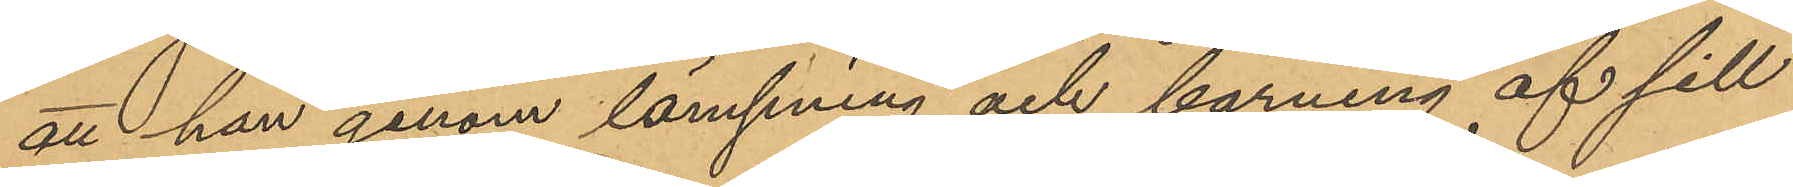att han genom länsning och bärning af sill
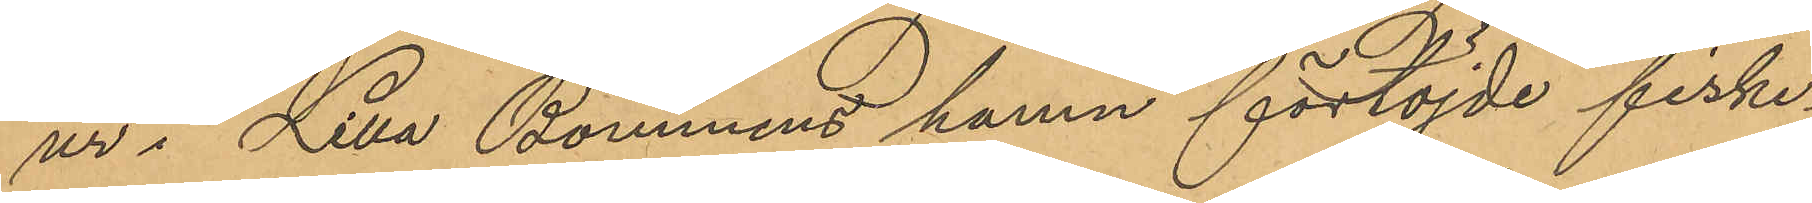ur i Lilla Bommens hamn förtöjde fiske¬
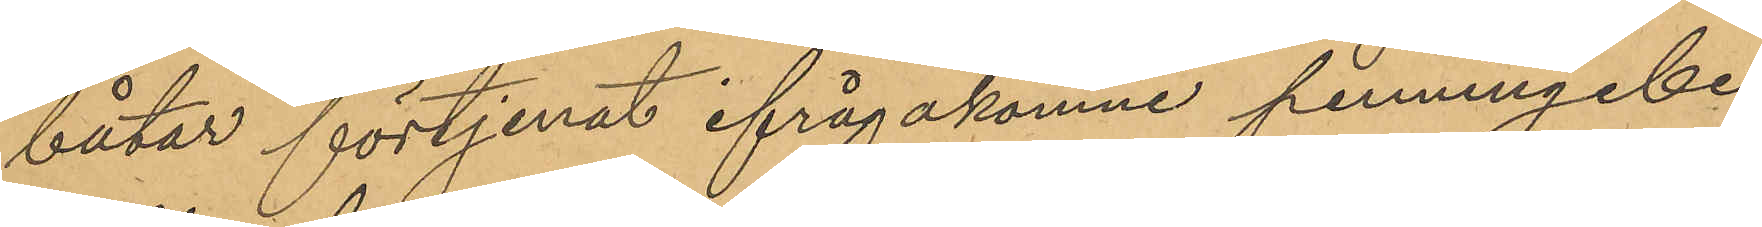båtar förtjenat ifrågakomne penningebe¬
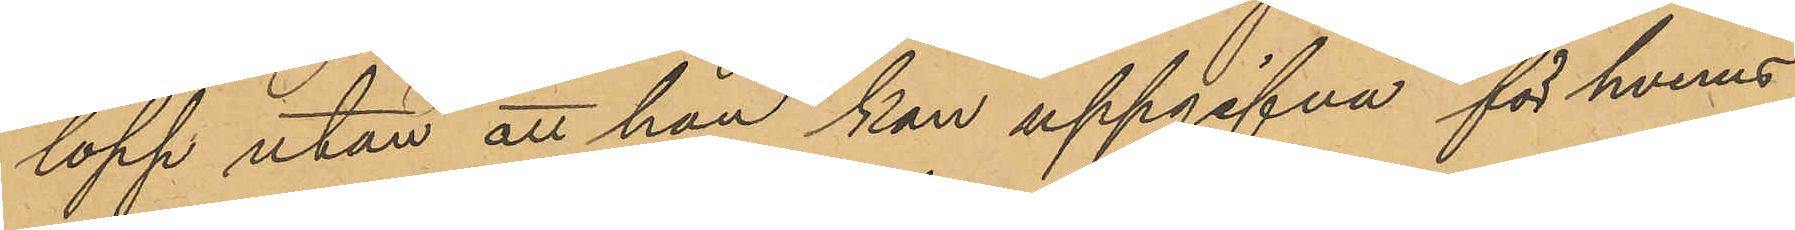lopp utan att han kan uppgifna för hvens
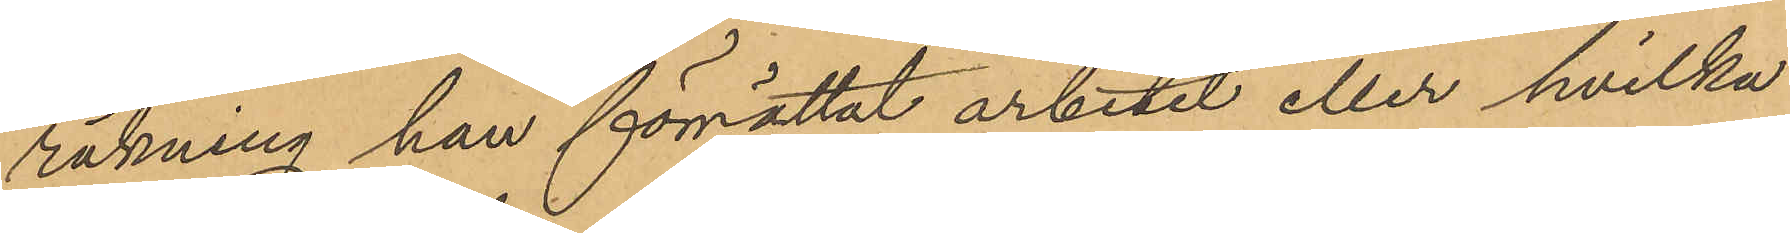räkning han förrättat arbetet eller hvilka
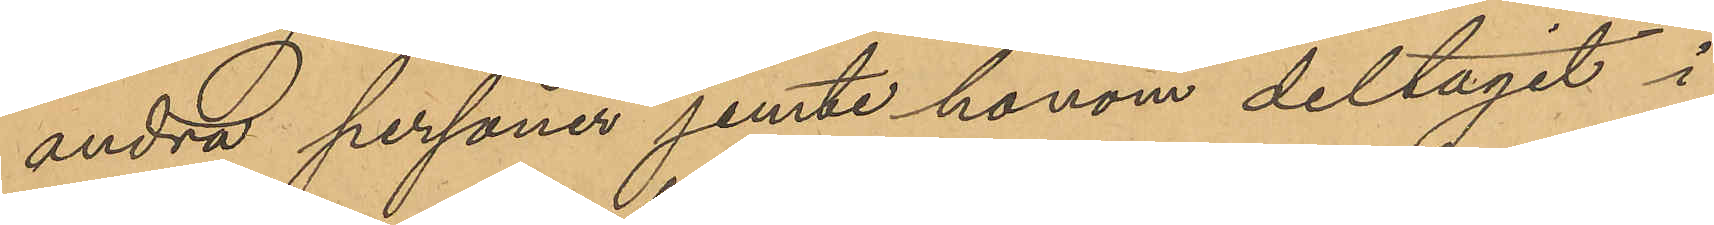andra personer jemte honom deltagit i
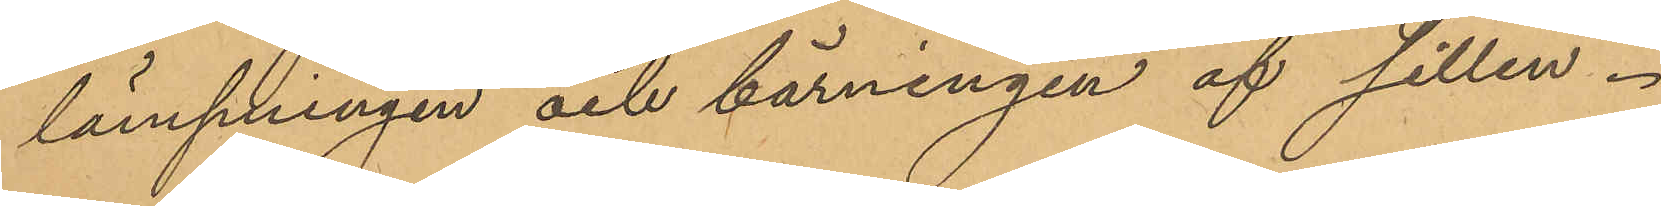länsningen och bärningen af sillen.
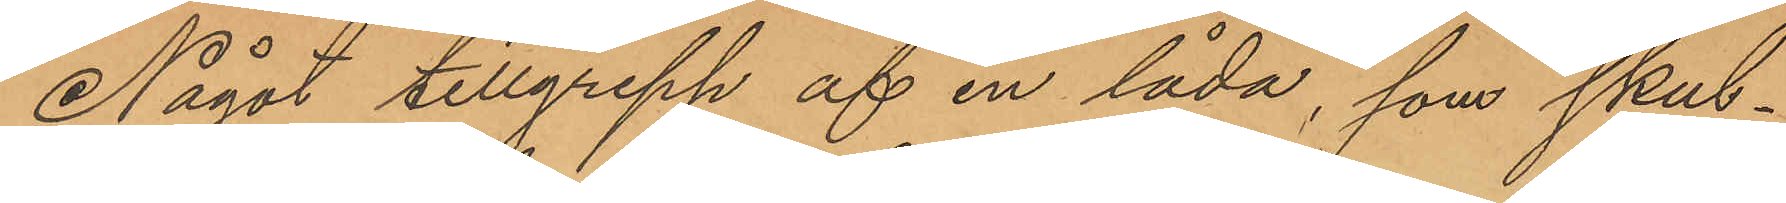Något tillgrepp af en låda, som skul¬
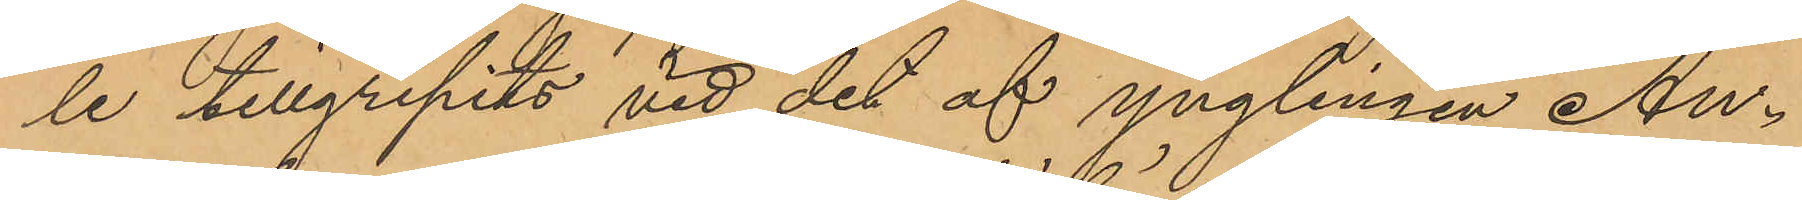le tillgripits vid det af ynglingen An¬
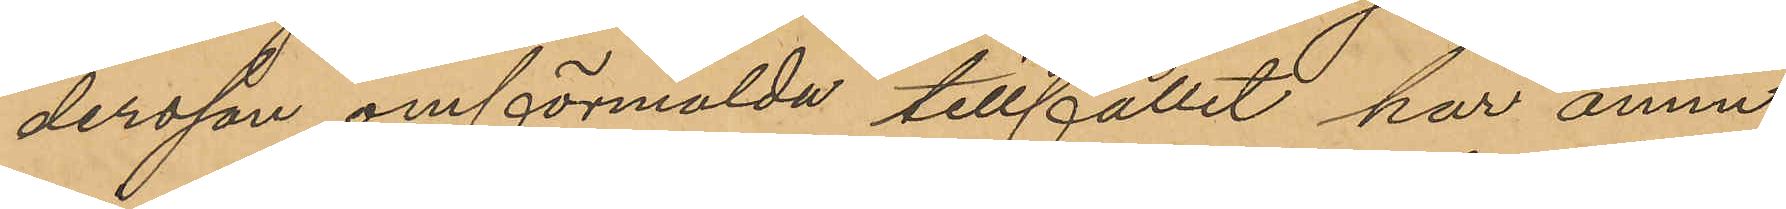dersson omförmälda tillfället har ännu
